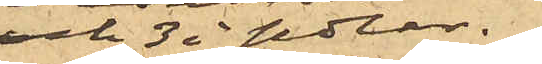och 3 i sedlar.
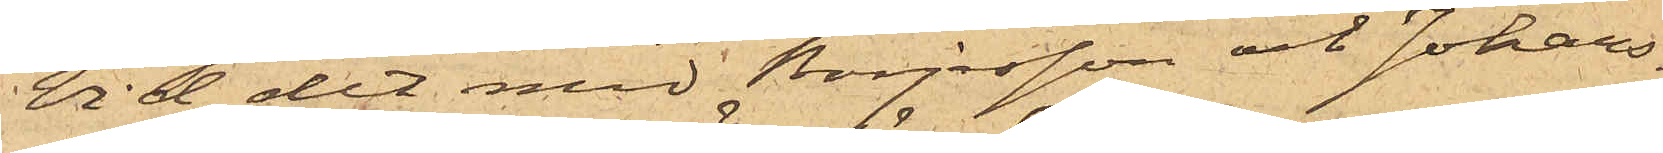Vid det med Börjesson och Johans¬
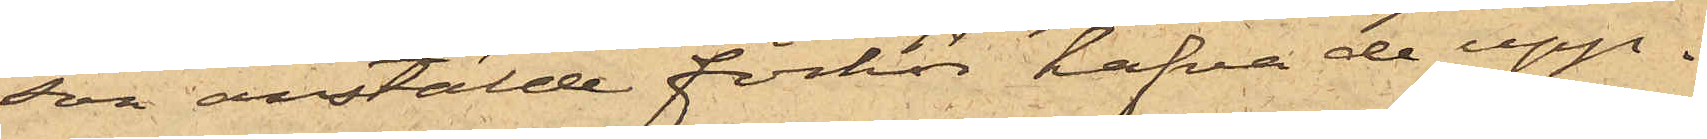son anstälde förhör hafva de upp¬
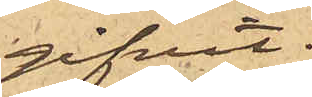gifvit:
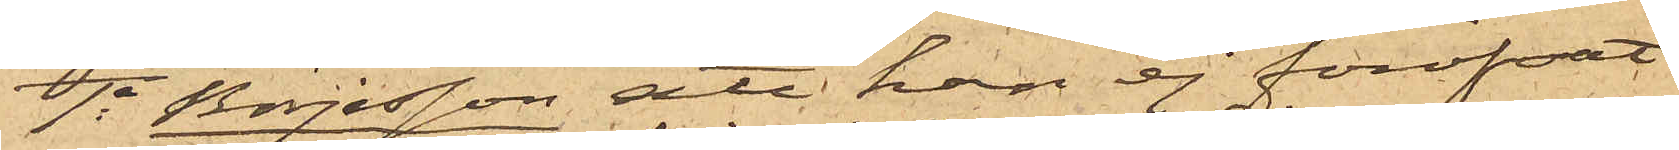1o Börjesson att han ej föröfvat
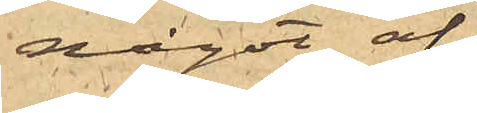något af
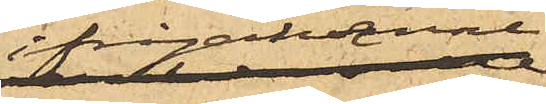ifrågakomne
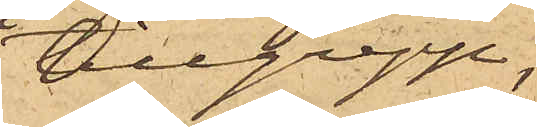tillgrepp;
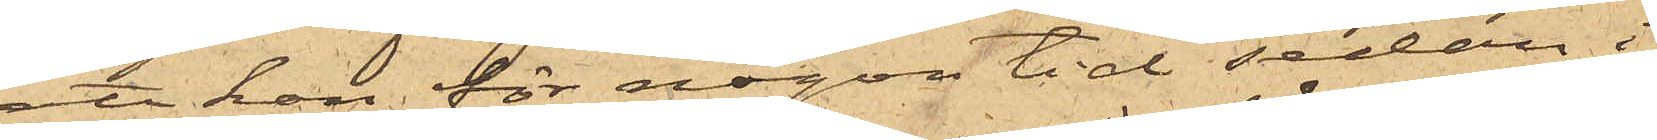att han för någon tid sedan i
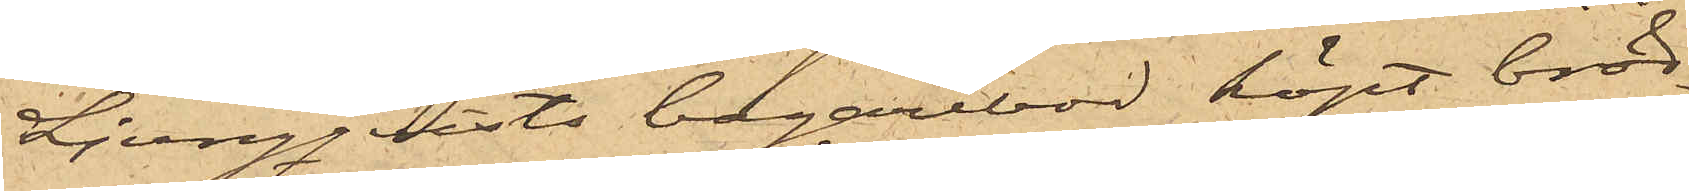Ljungqvists bagarebod köpt bröd
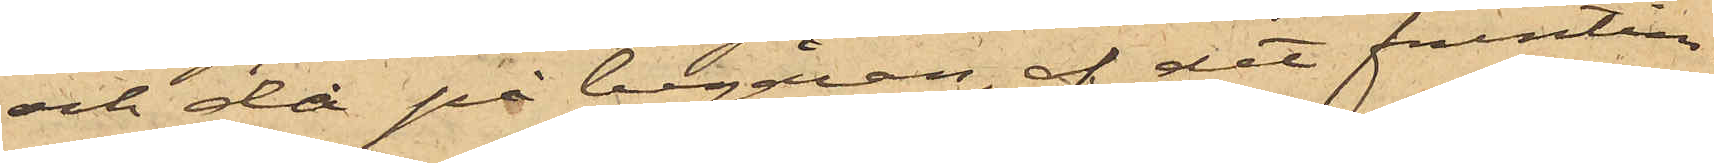och då på begäran, af det fruntim¬
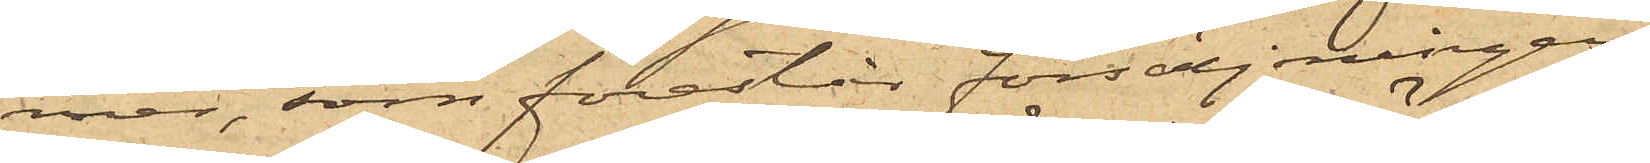mer, som förestår försäljningen,
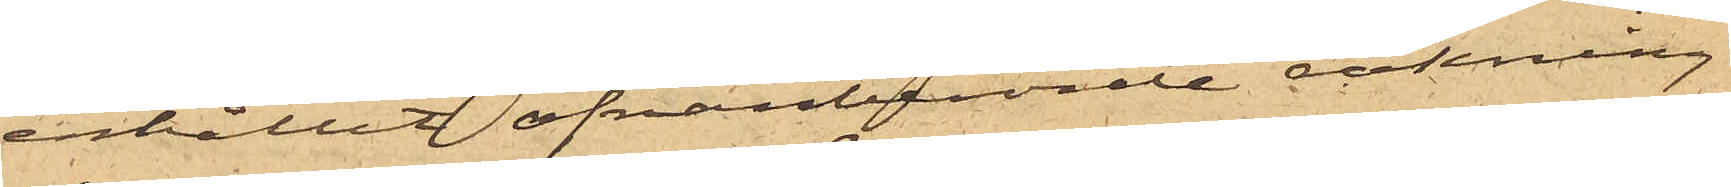erhållit ofvanberörde räkning
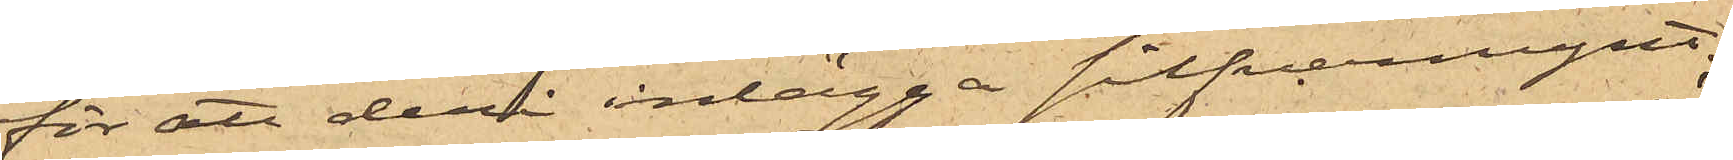för att deri inlägga silfvermynt;
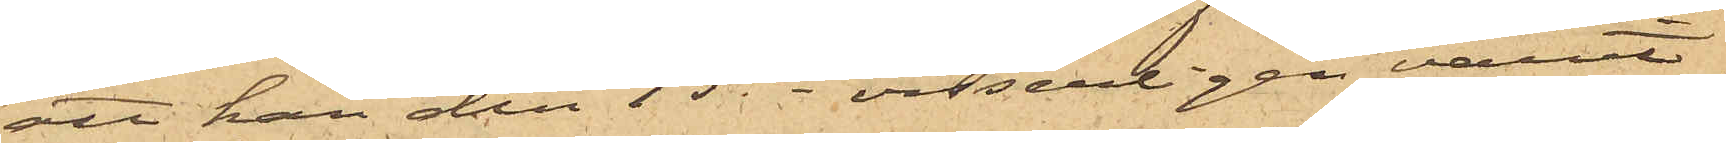att han den 15 ds visserligen varit
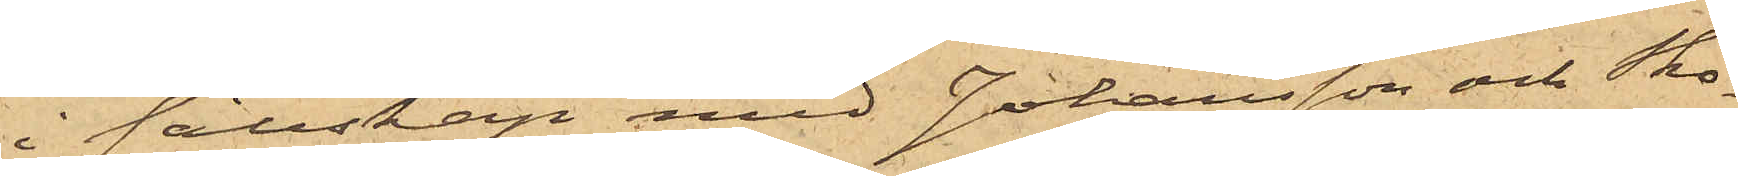i sällskap med Johansson och Sko¬
